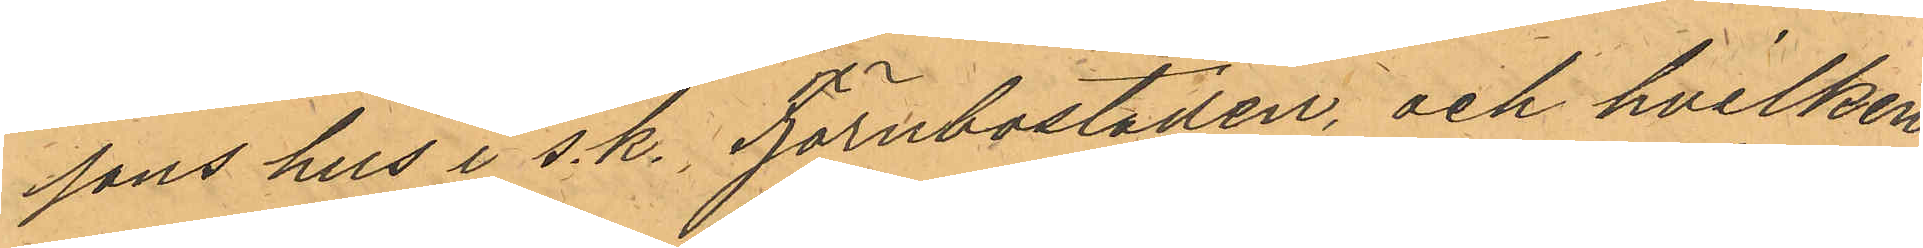sons hus i s. k., Tjörnbostaden, och hvilken
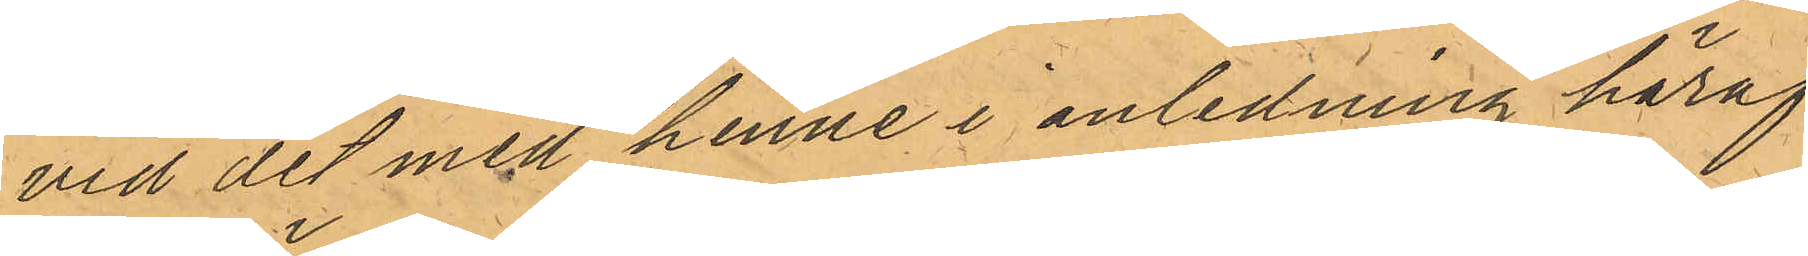vid det med henne i anledning häraf
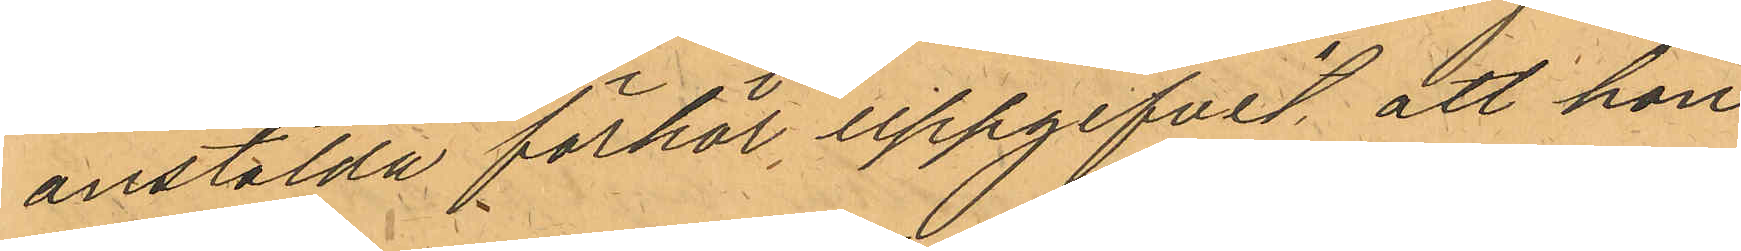anstälda förhör, uppgifvit att hon
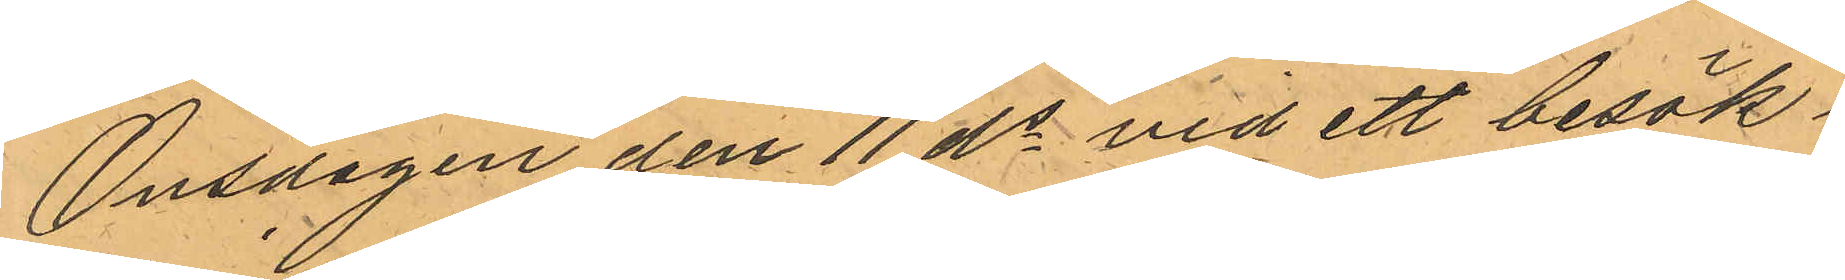Onsdagen den 11 ds vid ett besök i
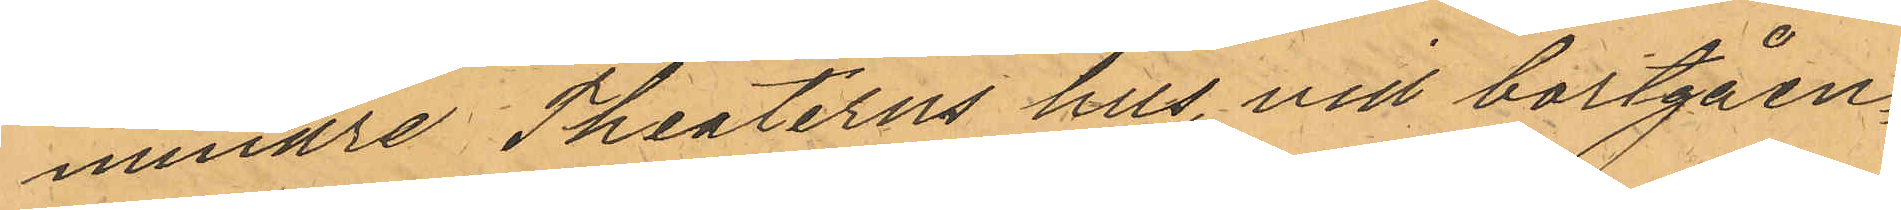mindre Theaterns hus, vid bortgåen¬
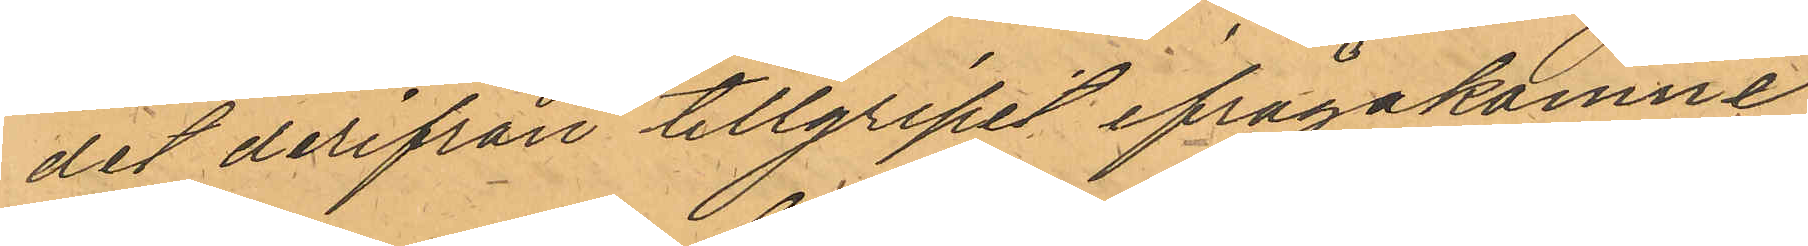det derifrån tillgripit ifrågakomne
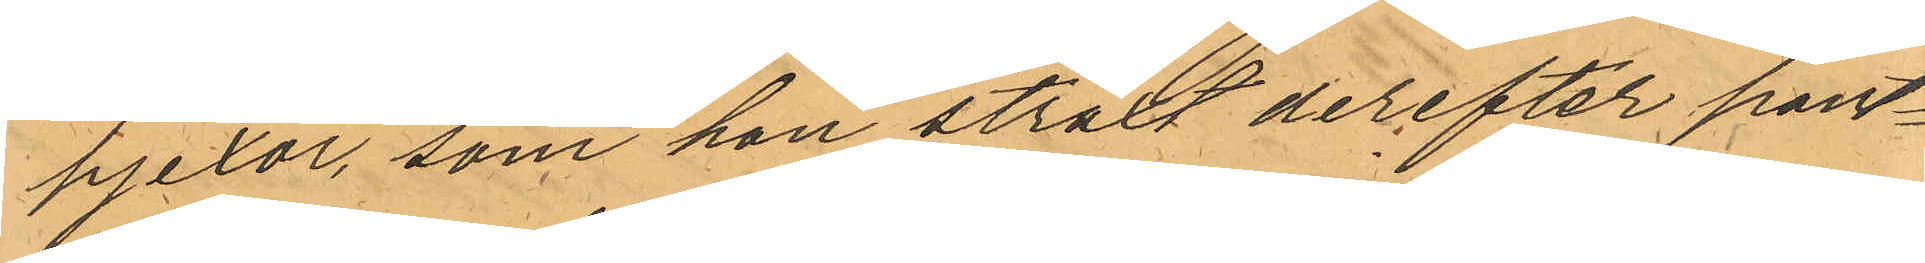pjexor, som hon straxt derefter pant¬
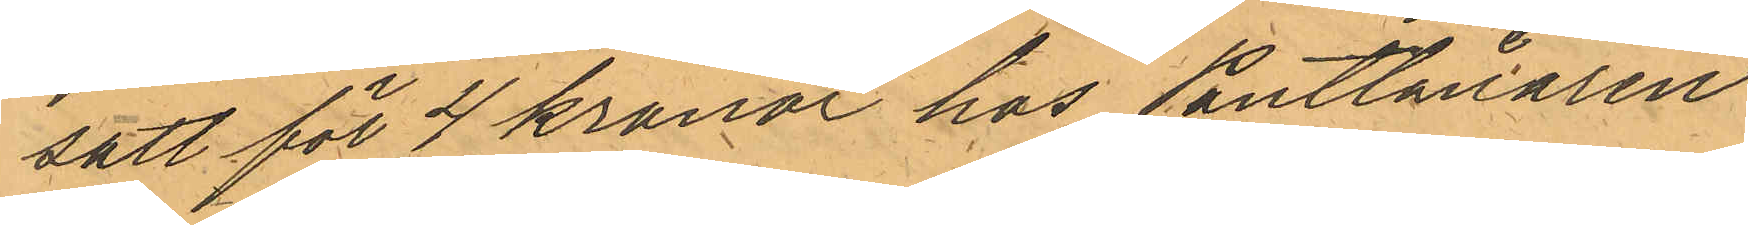satt för 4 kronor hos Pantlånaren
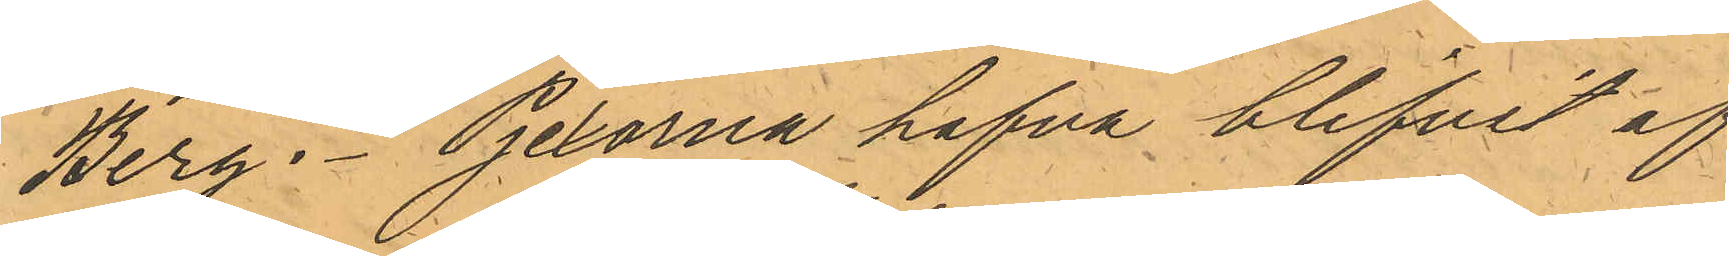Berg; Pjexorna hafva blifvit af
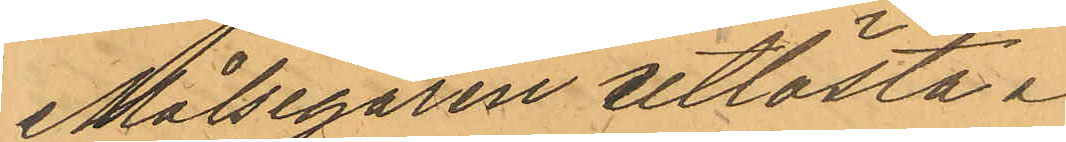Målsegaren utlösta.
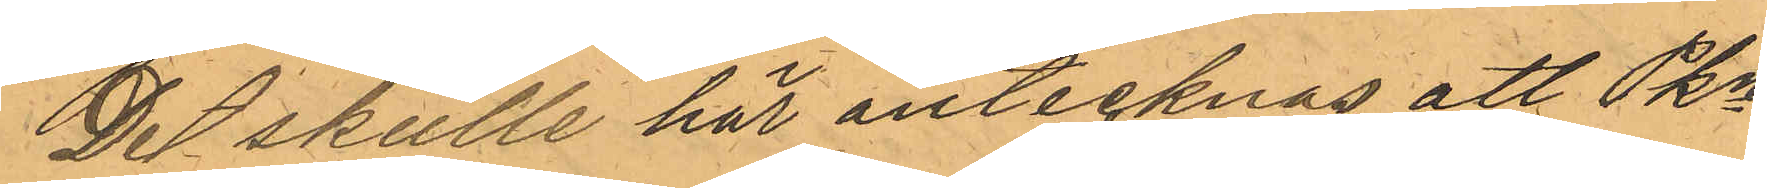De skulle här antecknas att Pkn
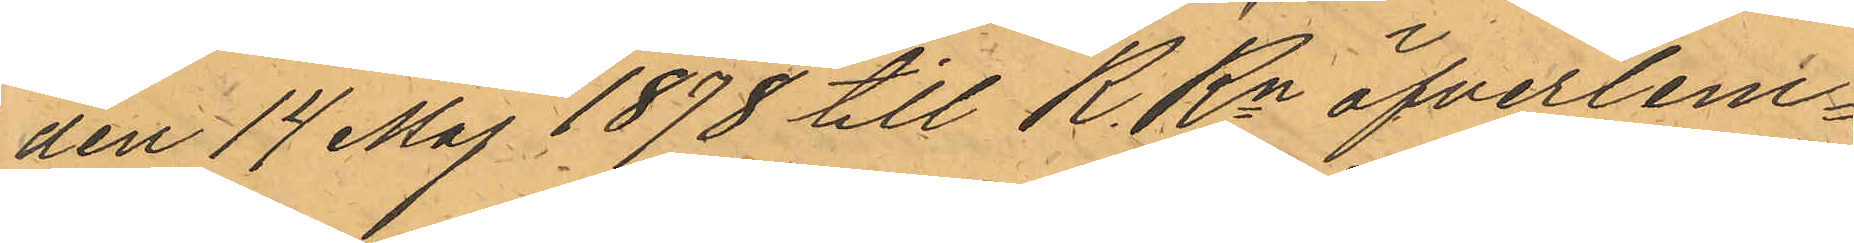den 14 Maj 1878 till R. Rn öfverlem¬
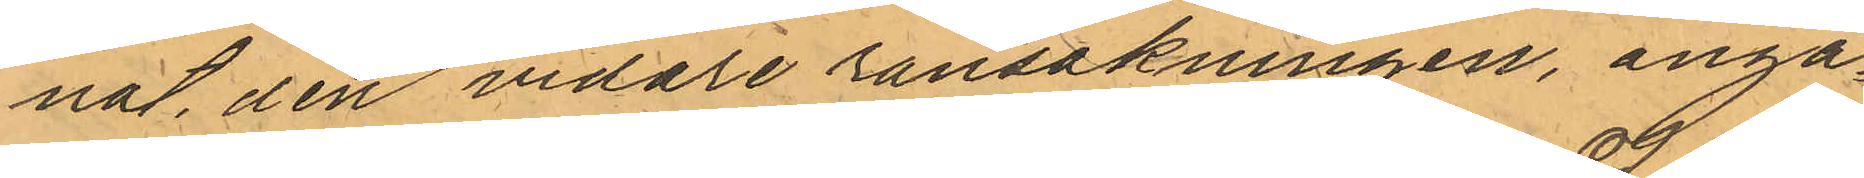nat den vidare ransakningen, angå¬
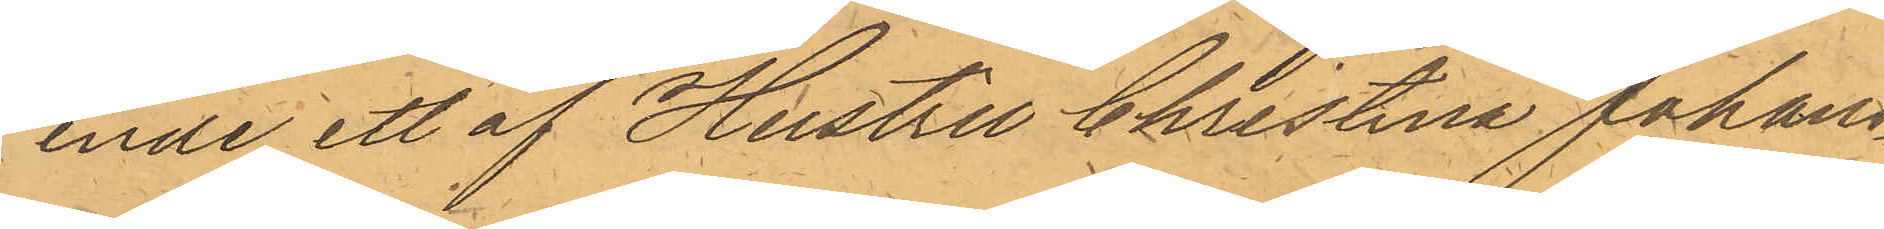ende ett af Hustru Christina Johans¬
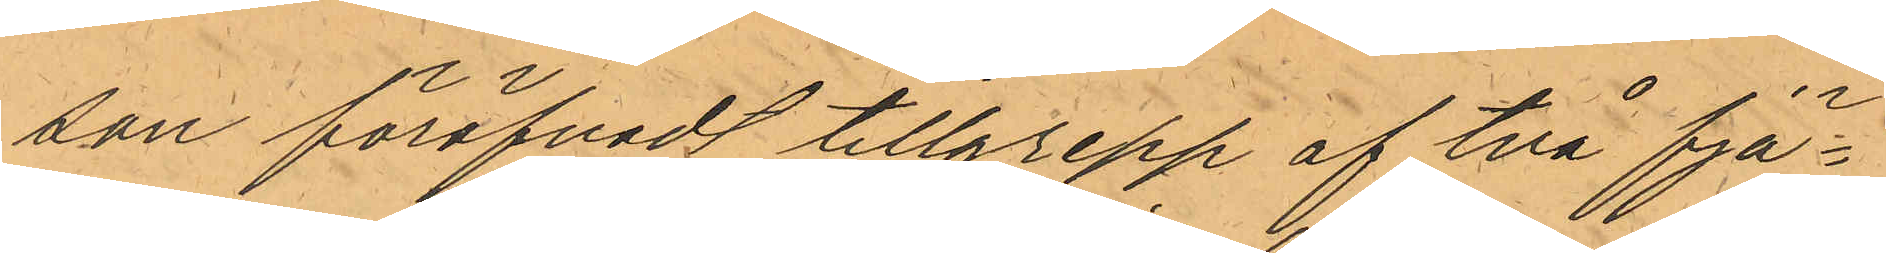son föröfvadt tillgrepp af två fjä¬
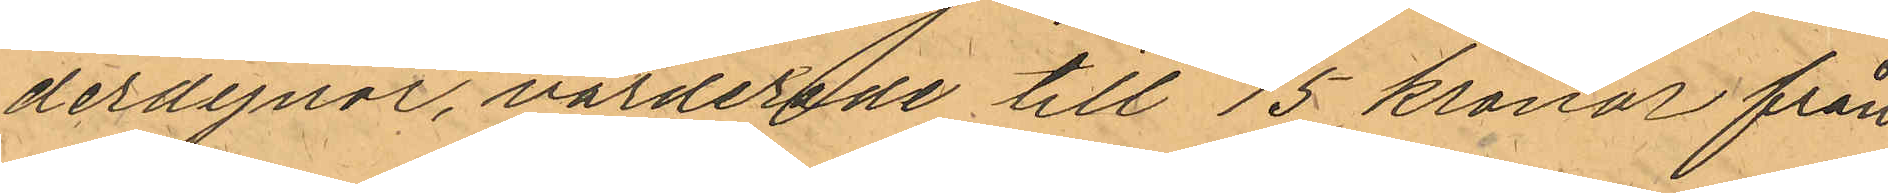derdynor, värderade till 15 kronor från
